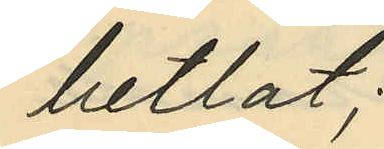betlat;
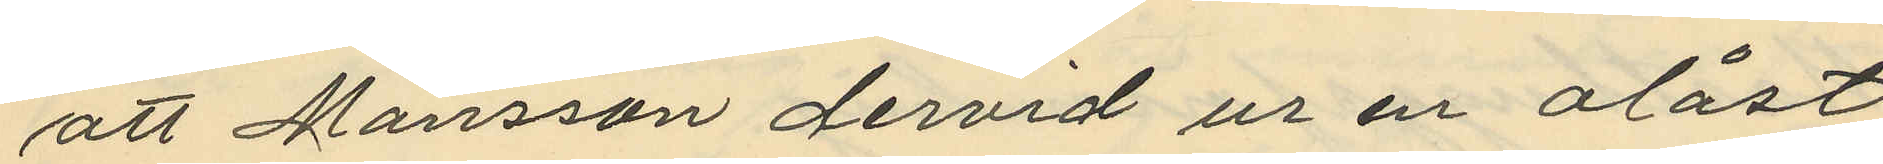att Månsson dervid ur en olåst
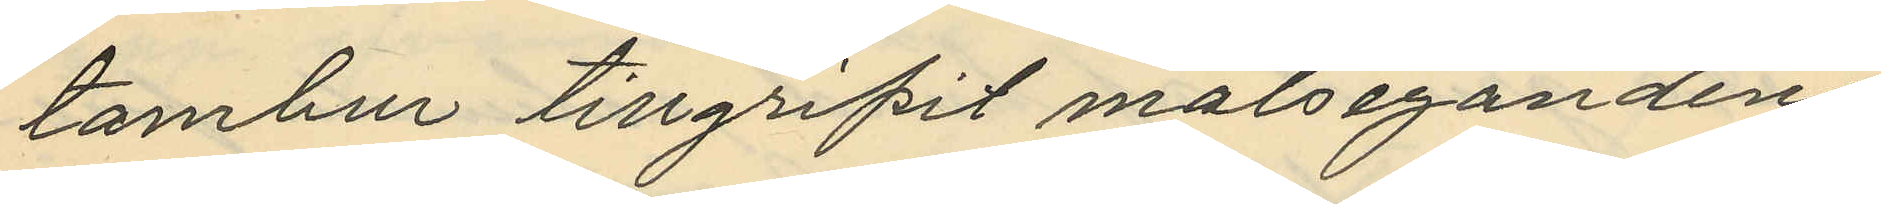tambur tillgripit målsegandens
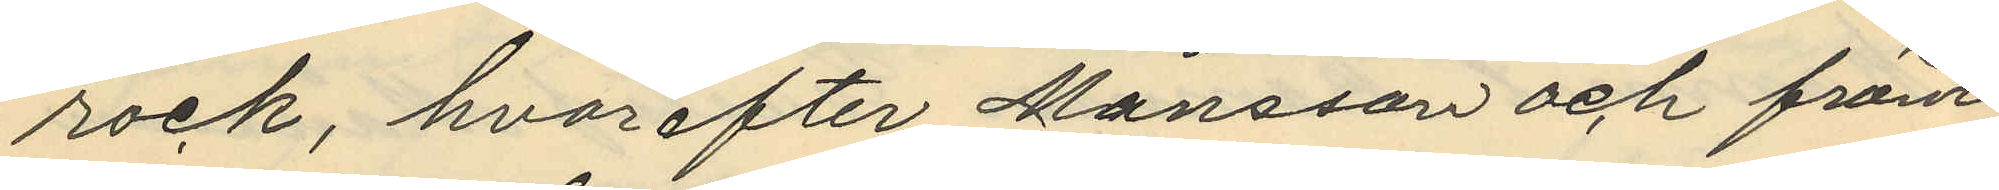rock, hvarefter Månsson och främ¬
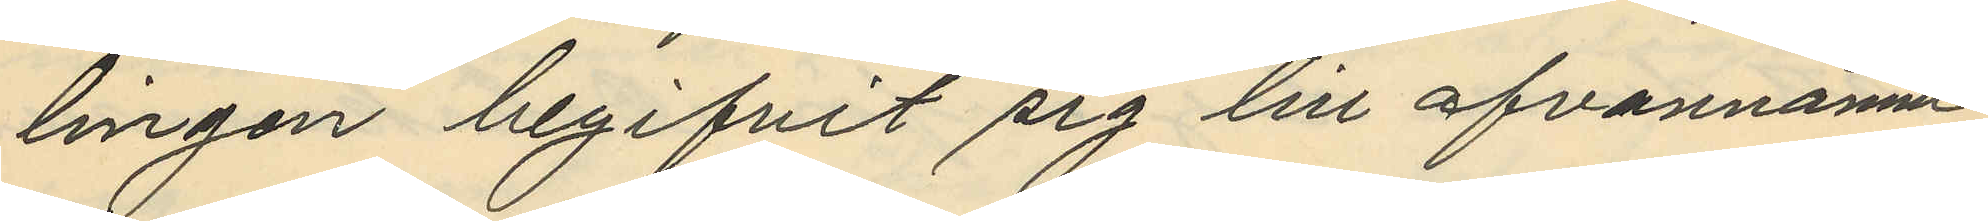lingen begifvit sig till ofvannämn¬
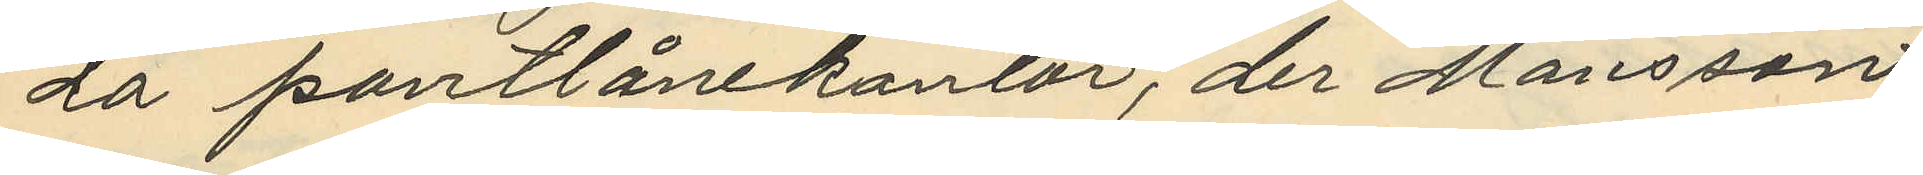da pantlånekontor, der Månsson
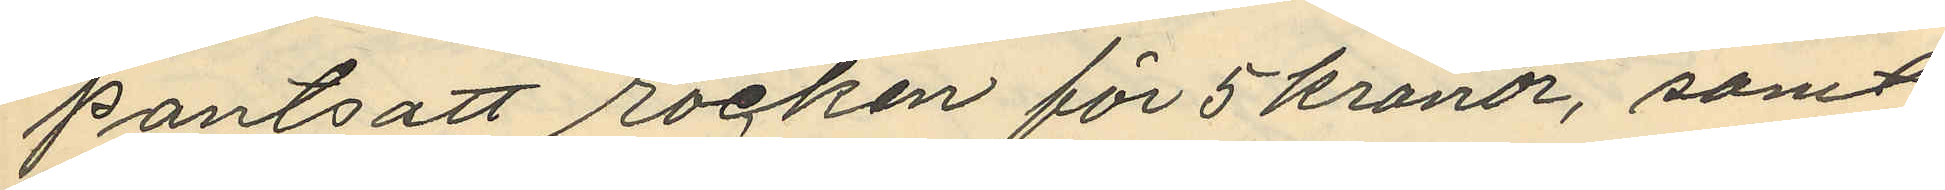pantsatt rocken för 5 kronor, samt
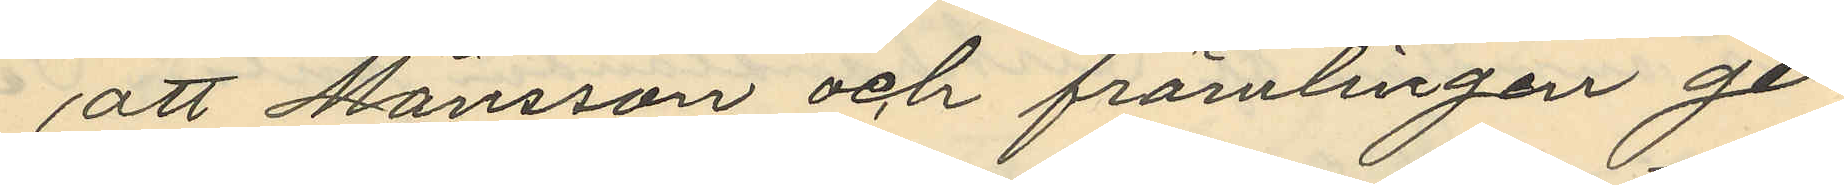att Månsson och främlingen ge¬
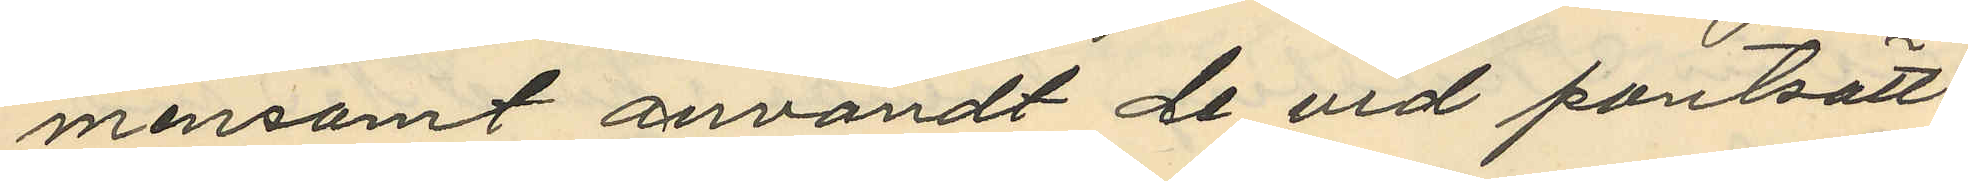mensamt användt de vid pantsätt¬
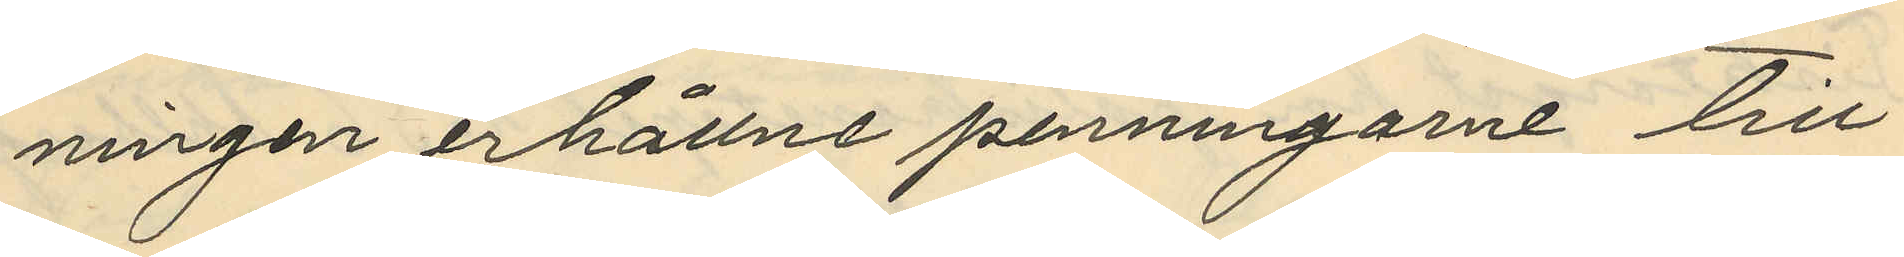ningen erhållne penningarne till
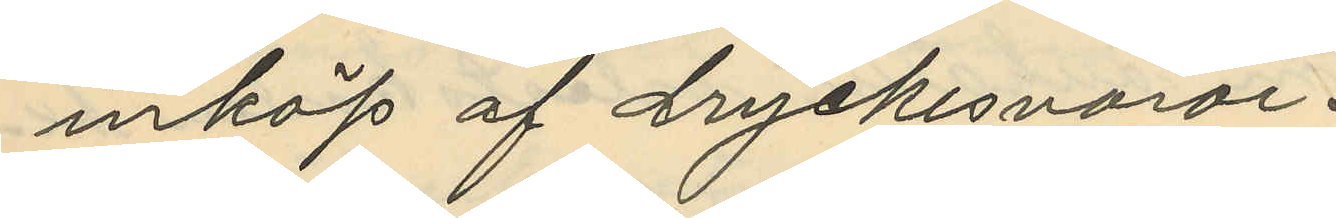inköp af dryckesvaror.
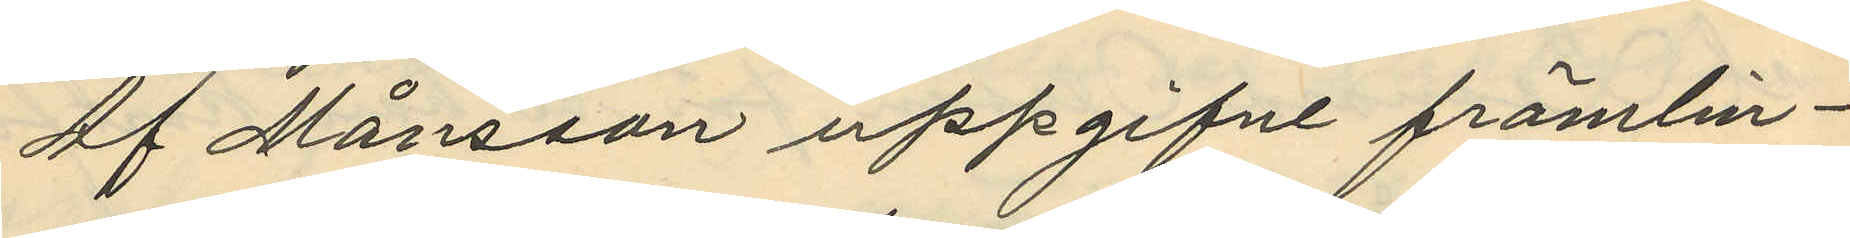af Månsson uppgifne främlin¬
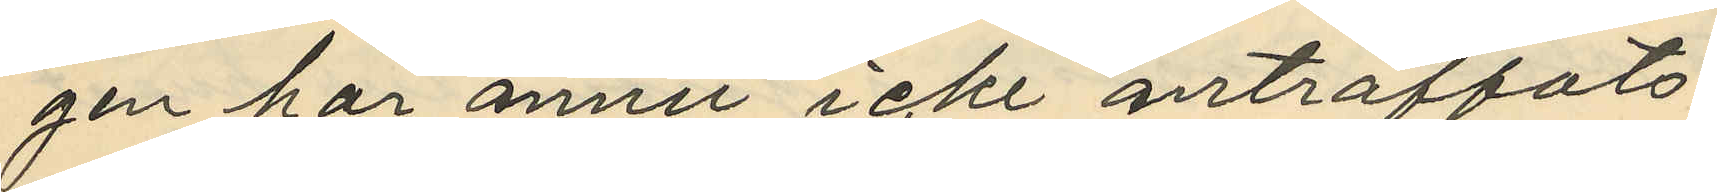gen har ännu icke anträffats
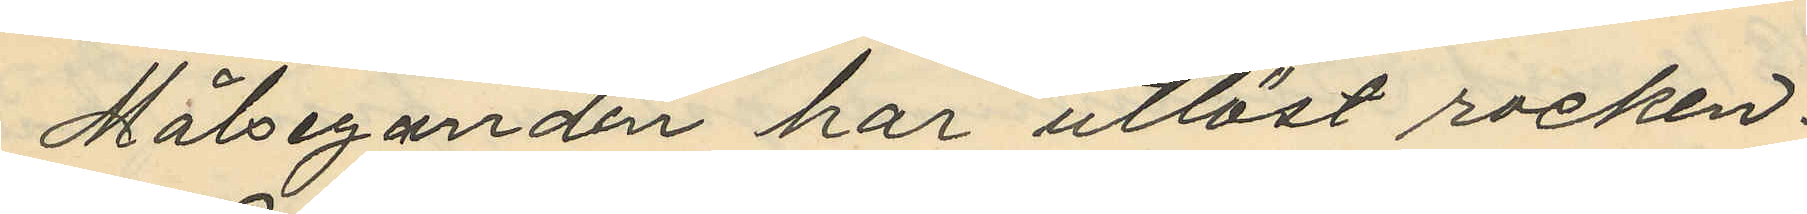Målseganden har utlöst rocken.
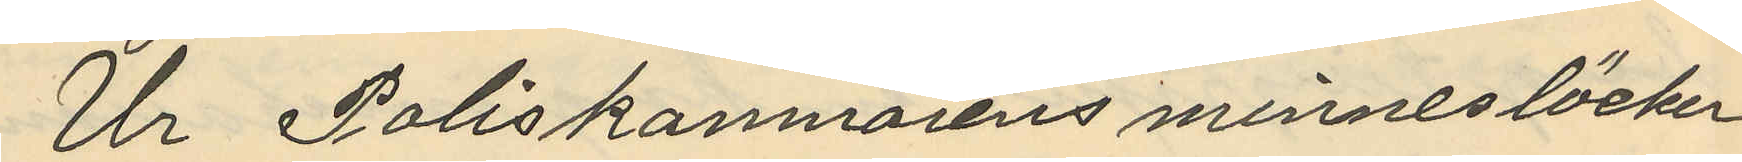Ur Poliskammarens minnesböcker
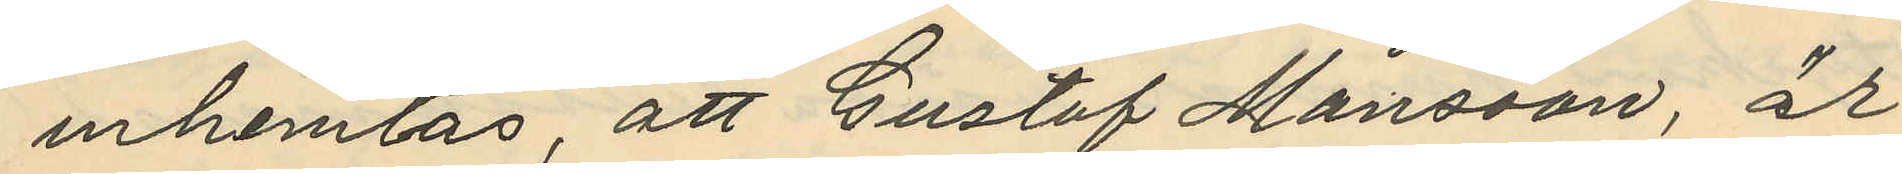inhemtas, att Gustaf Månsson, är
